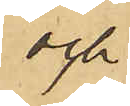och
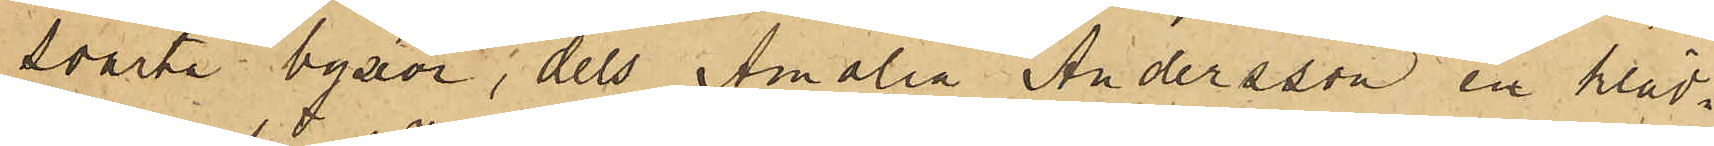svarta byxor, dels Amalia Andersson en kläd¬
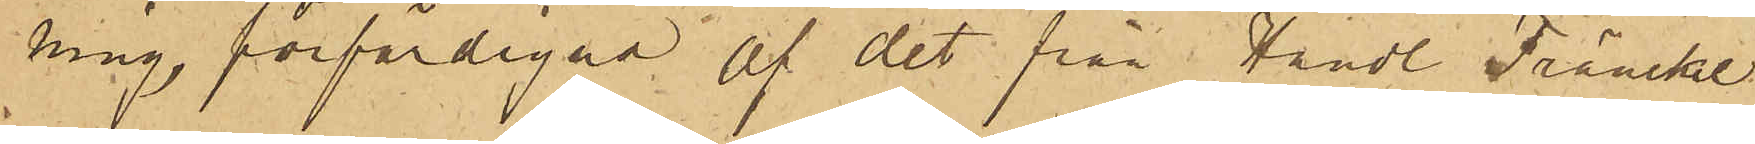ning, förfärdigad af det från Handl. Fränckel
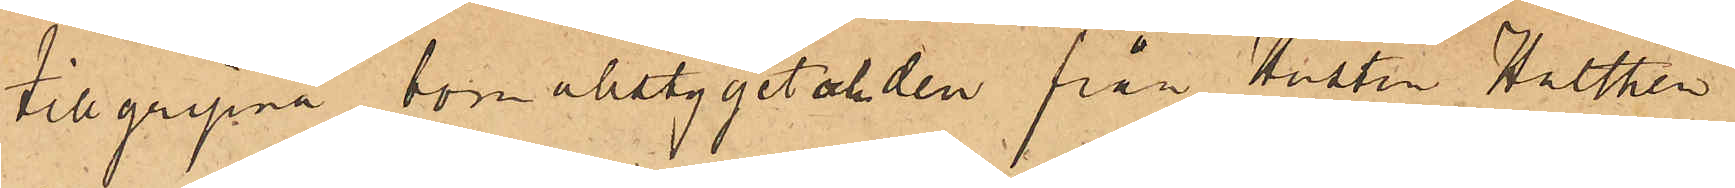tillgripna borrverktyg och från Hustru Hulthén
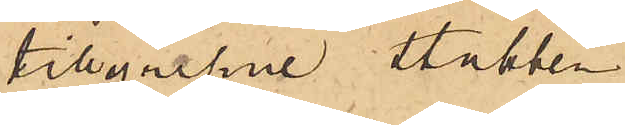tillgripne stubben.
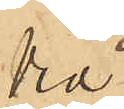Vid
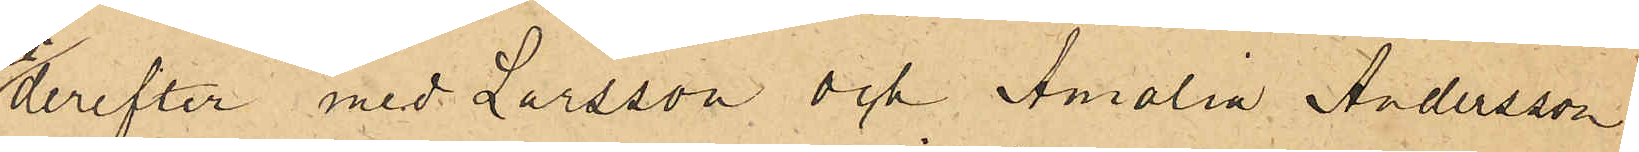derefter med Larsson och Amalia Andersson
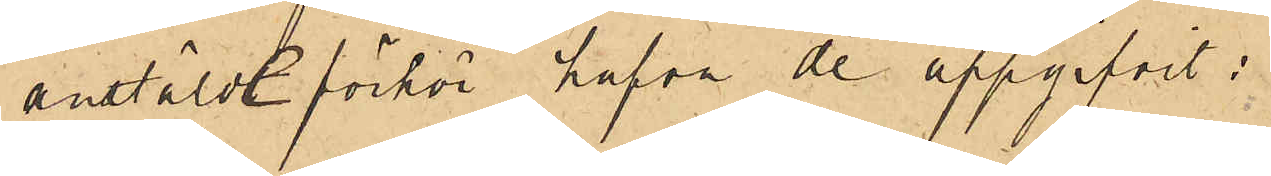anstälde förhör hafva de uppgifvit:
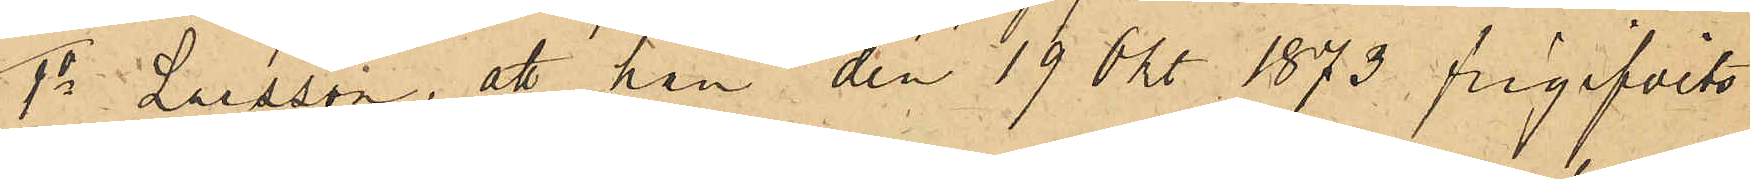1o Larsson, att han den 19 Okt 1873 frigifvits
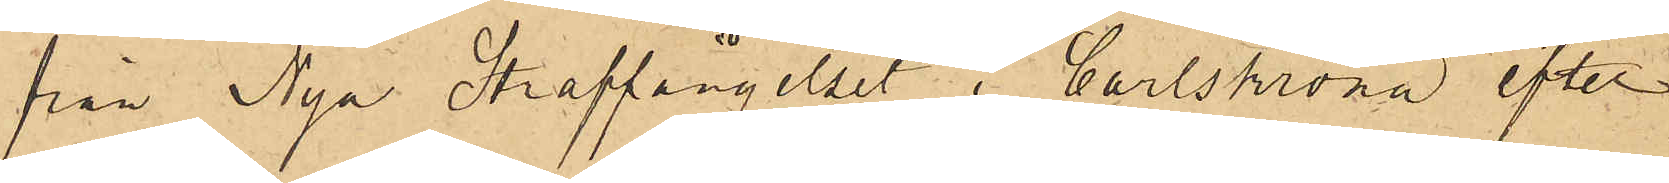från Nya Straffängelset i Carlskrona efter
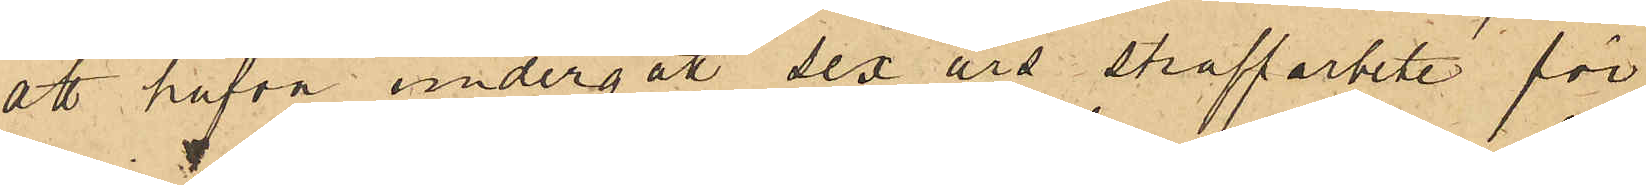att hafva undergått sex års straffarbete för
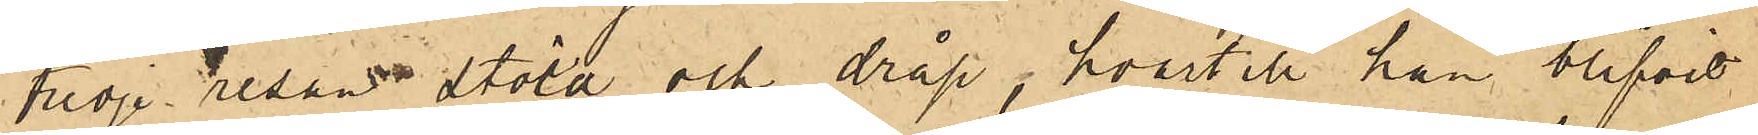tredje resan stöld och dråp, hvartill han blifvit
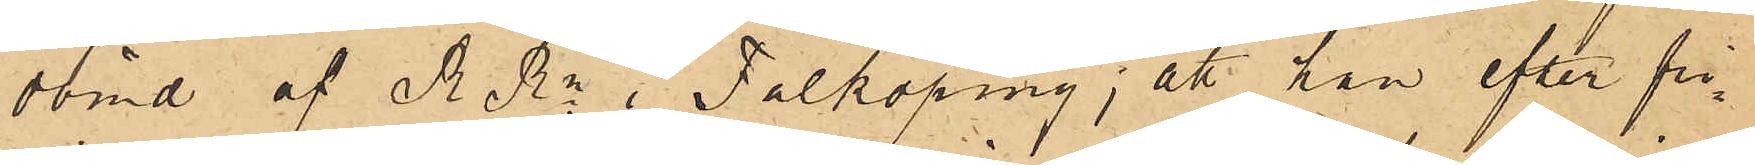dömd af  R.Rn i Falköping; att han efter fri¬
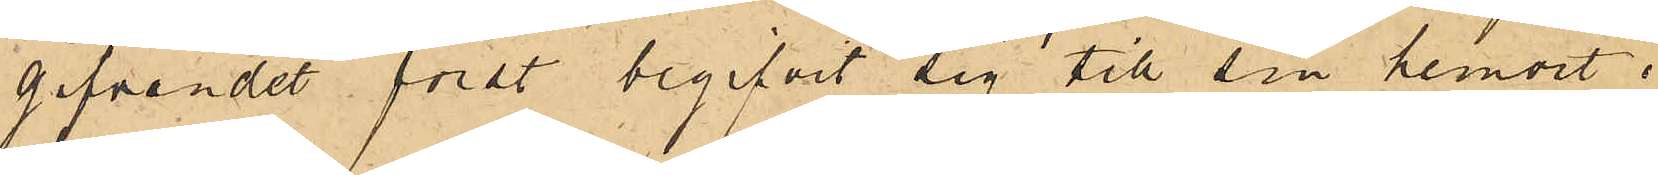gifvandet först begifvit sig till sin hemort i
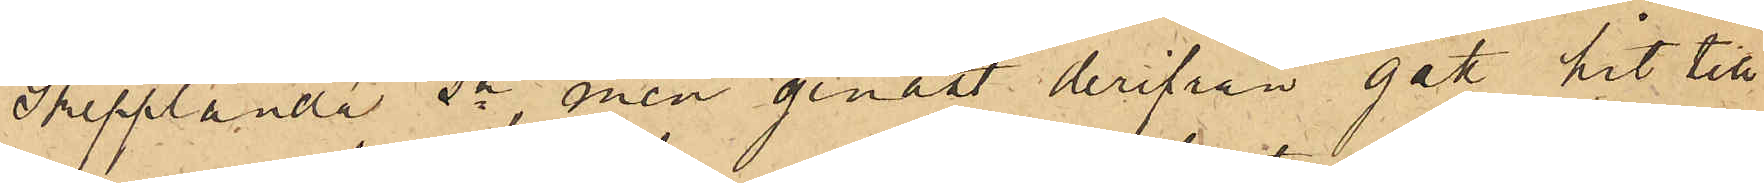Skepplanda sn, men genast derifrån gått hit till
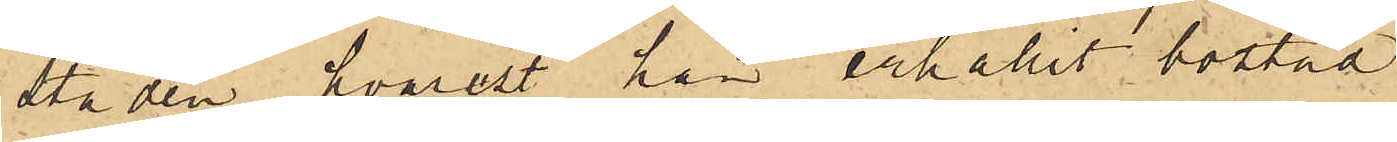staden, hvarest han erhållit bostad
